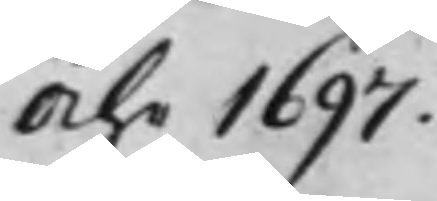Åhr 1697.
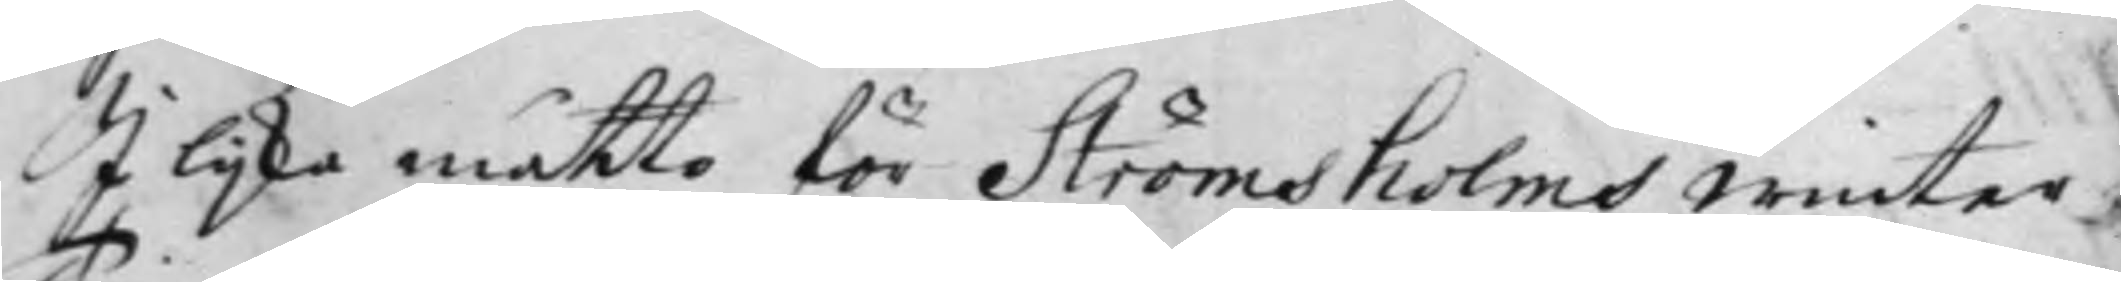I lijka måtto för Strömsholms Winter¬
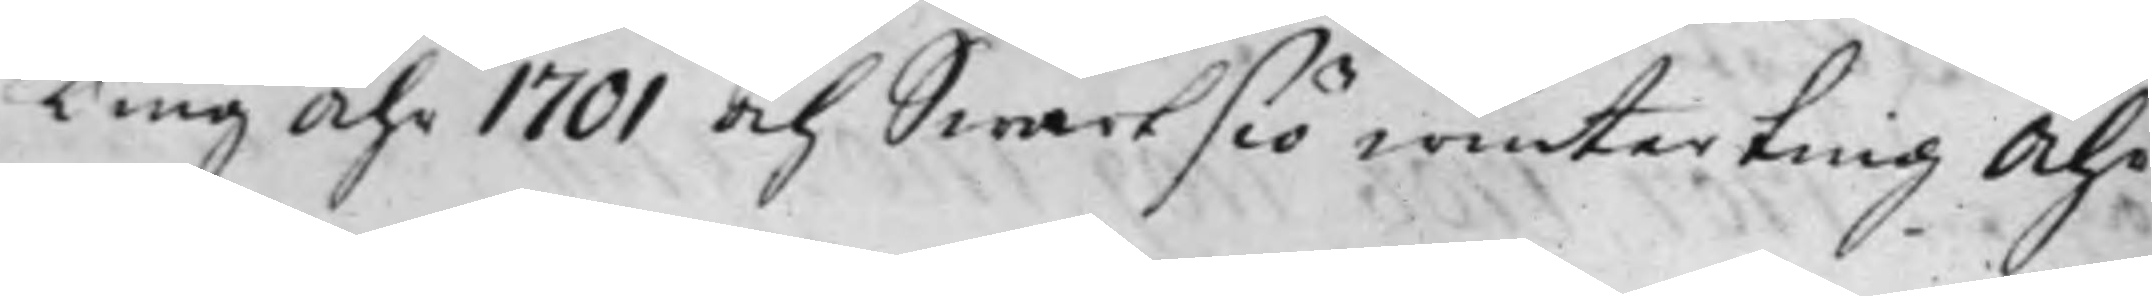Ting Åhr 1701 och Swartsiö Winterting Åhr
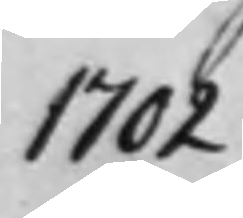1702.
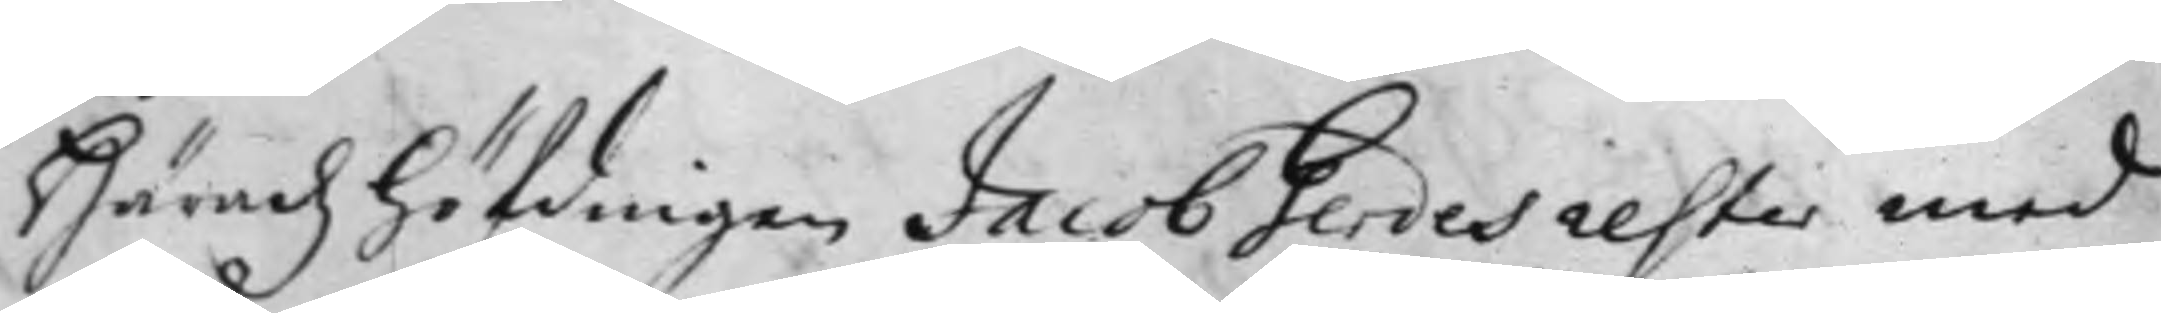Häradz höfdingen Jacob Gerdes rester med
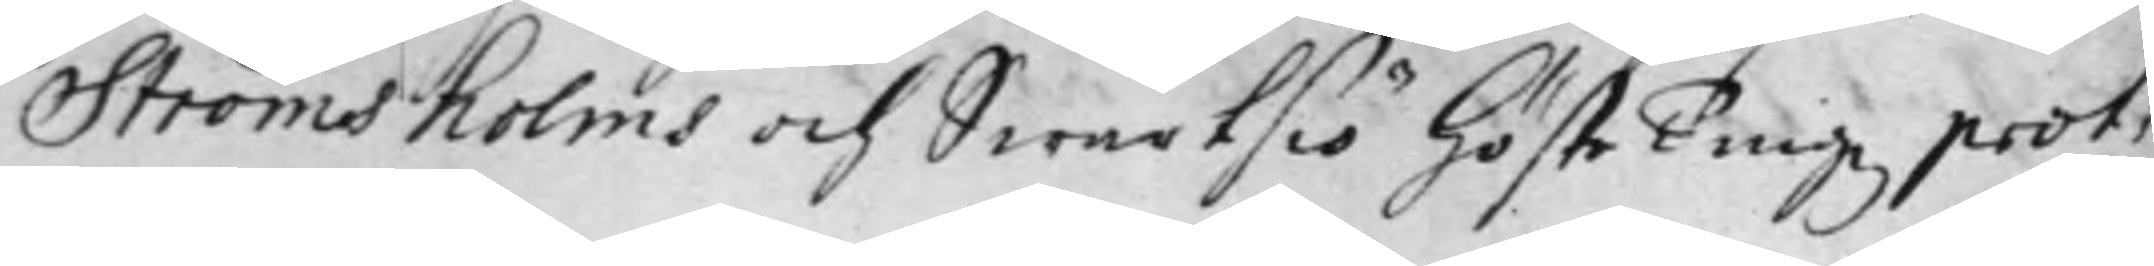Strömsholms och Swartsiö höste Tingz prot:
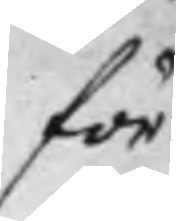för
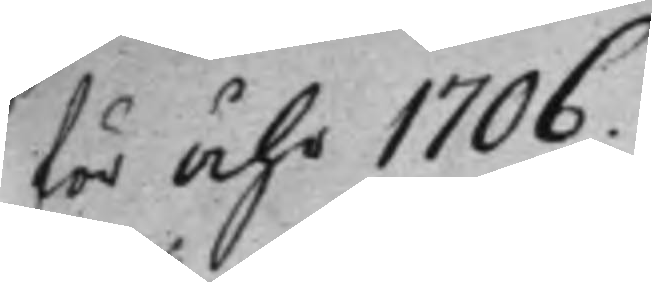för Åhr 1706.
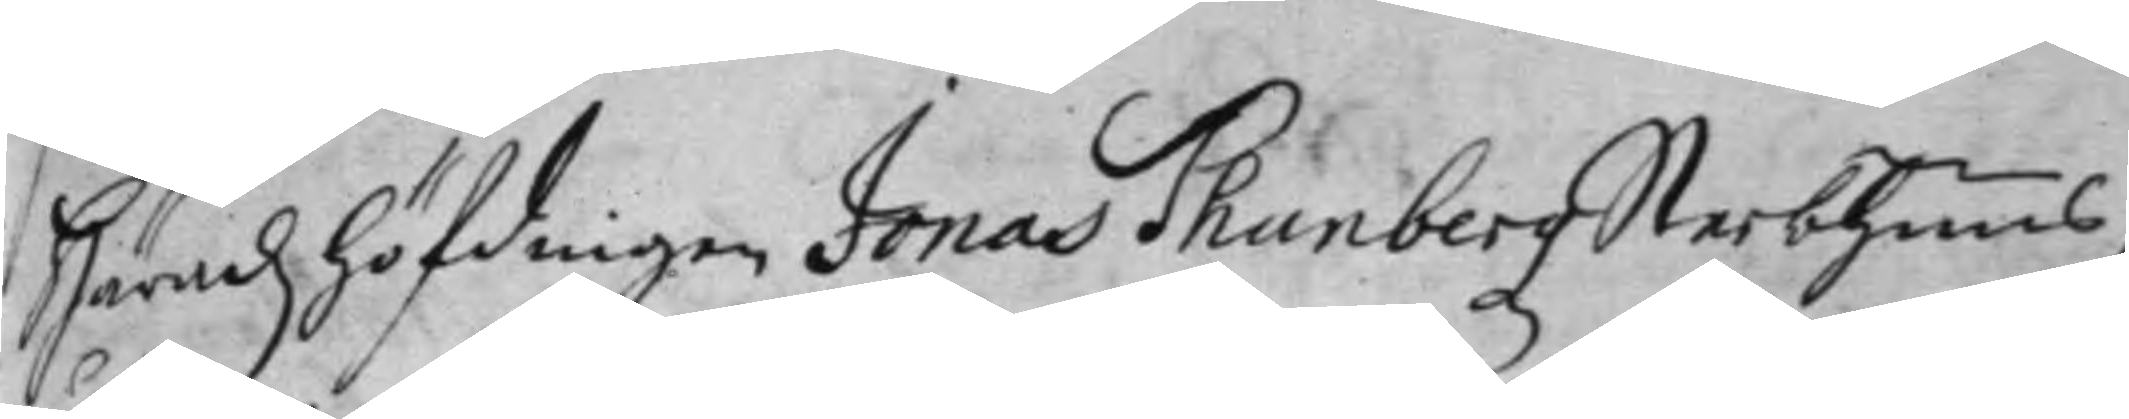Häradz höfdingen Jonas Thunbergz Sterbhuus,
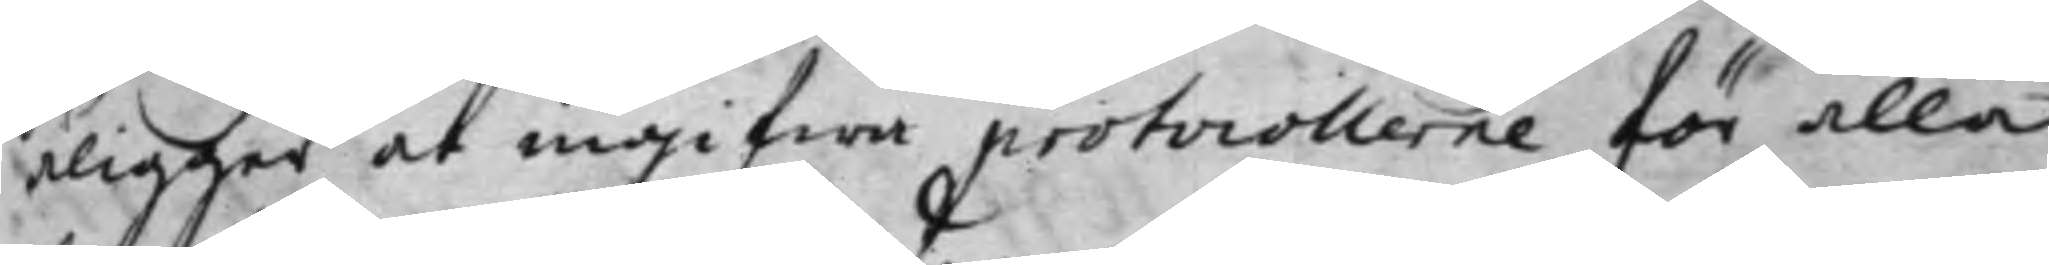åligger at ingifwa protocollerne för alla
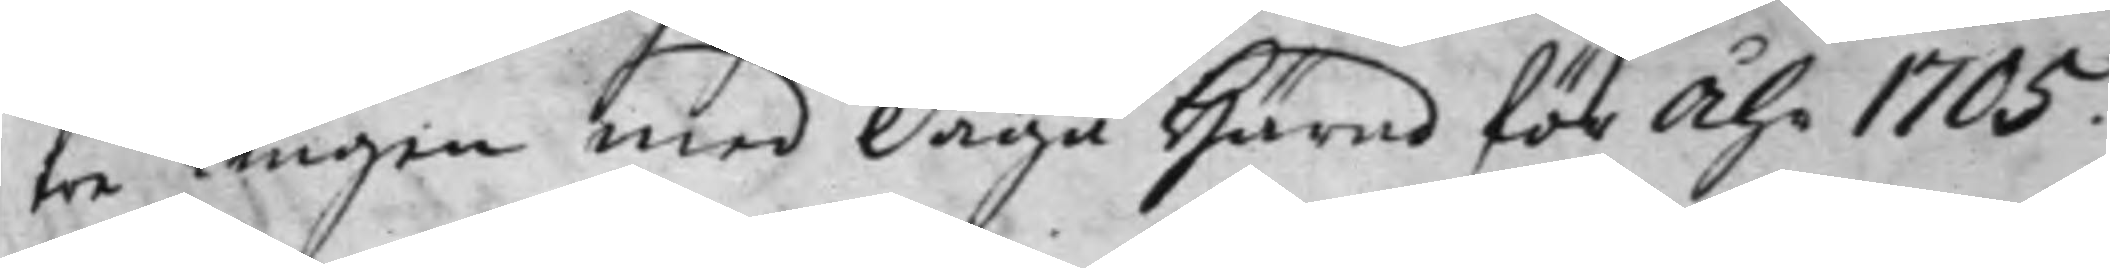tre Tingen med Daga Härad för Åhr 1705.
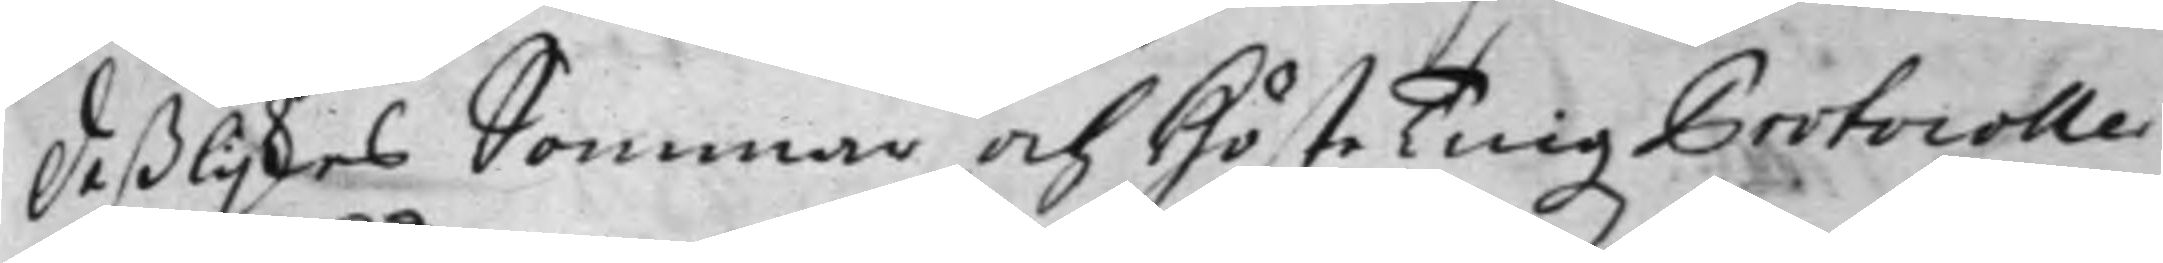Desslijkes Sommar och Höste Tingz Protocoller¬
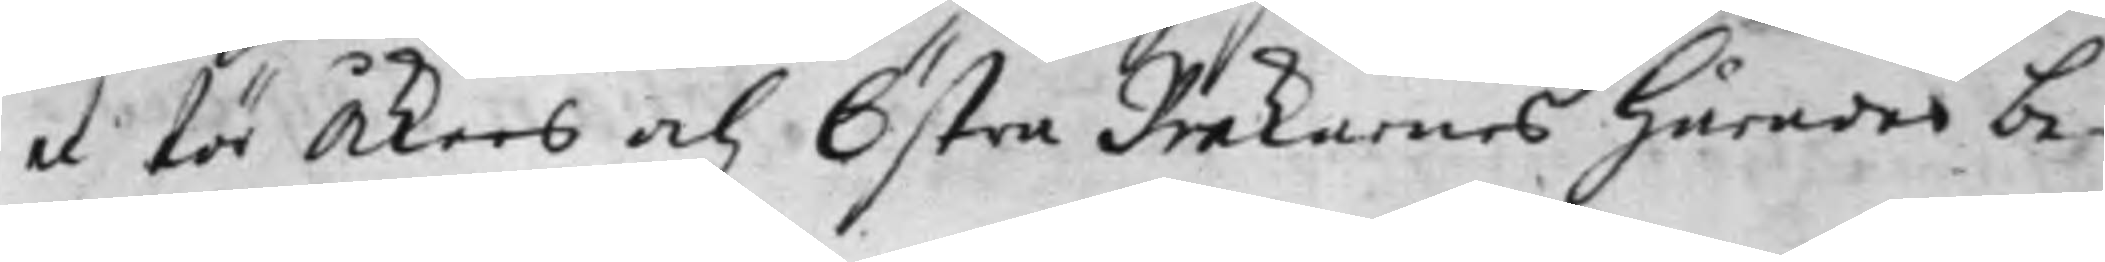ne för Åkers och Östra Rekarnes Härader be¬
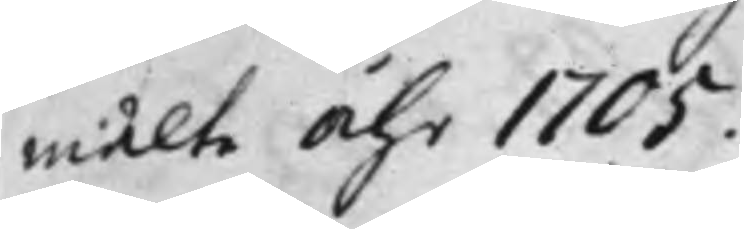mälte Åhr 1705.
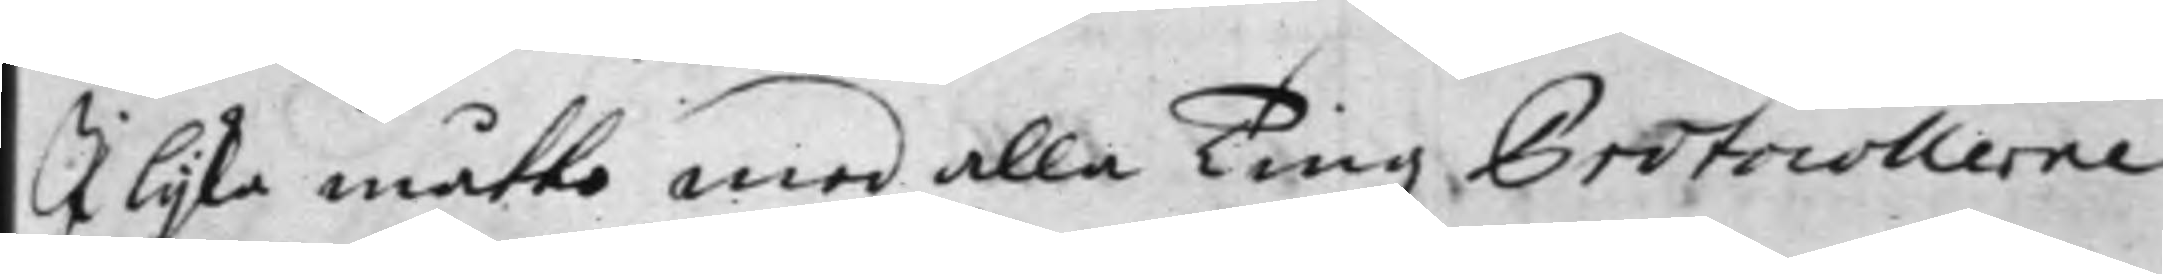I lijka måtto med alla Tingz Protocollerne
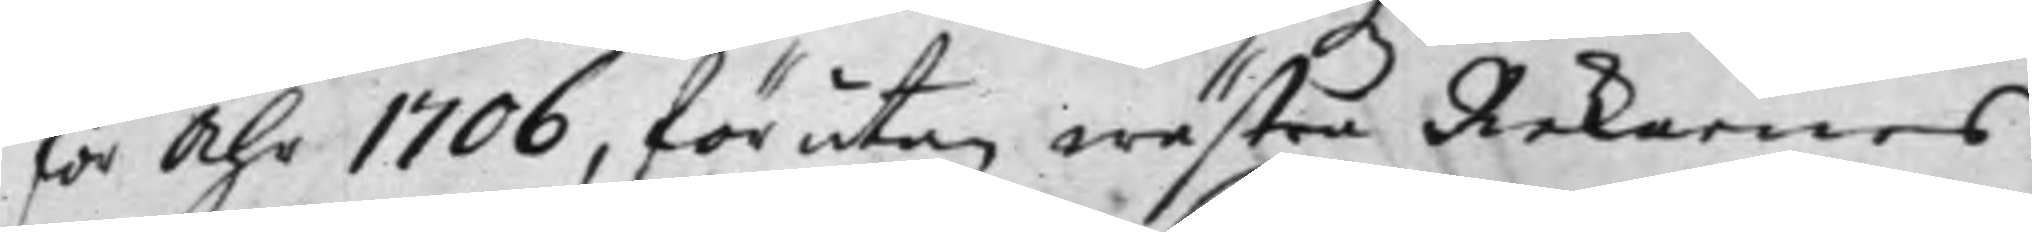för Åhr 1706, förutan Wästra Rekarnes
